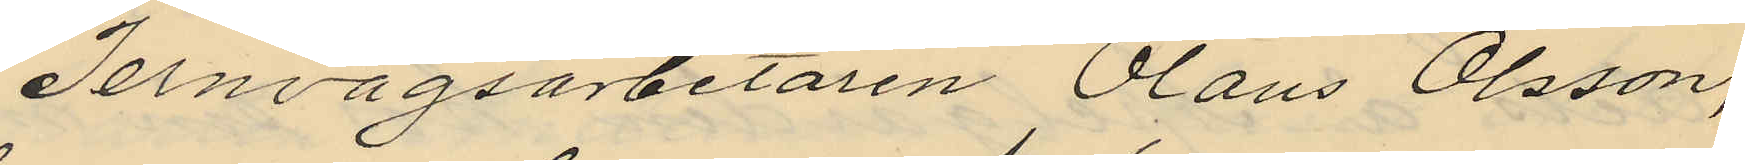Jernvägsarbetaren Olaus Olsson,
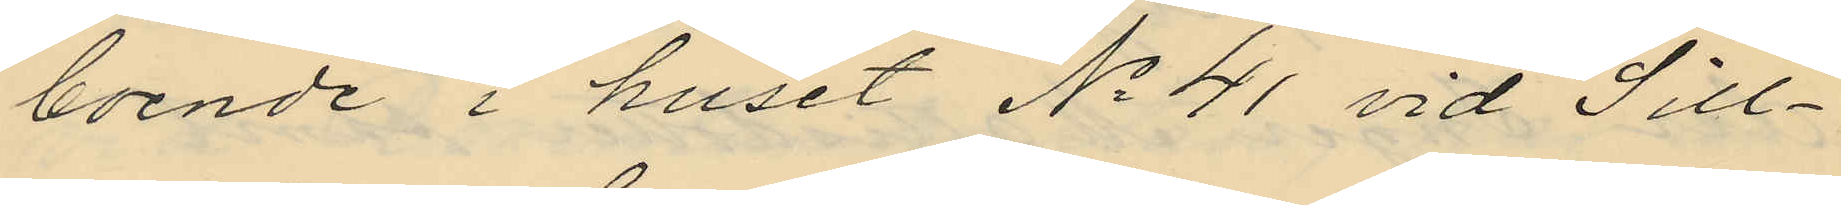boende i huset No 41 vid Sill¬
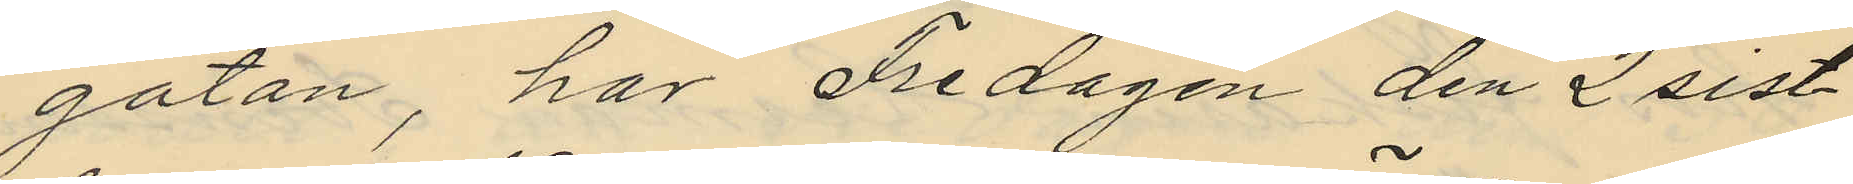gatan, har Fredagen den 2 sist¬
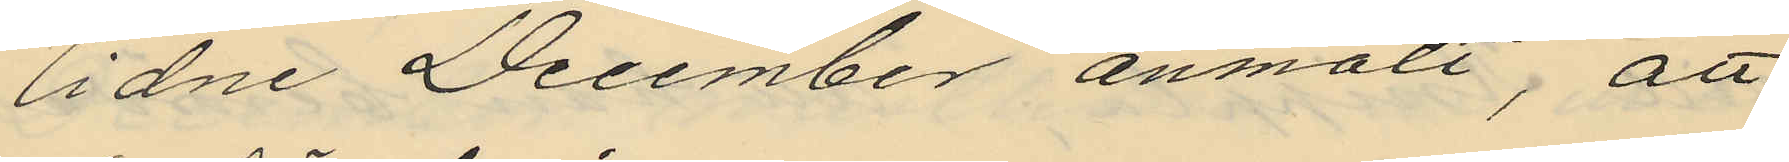lidne December anmält, att
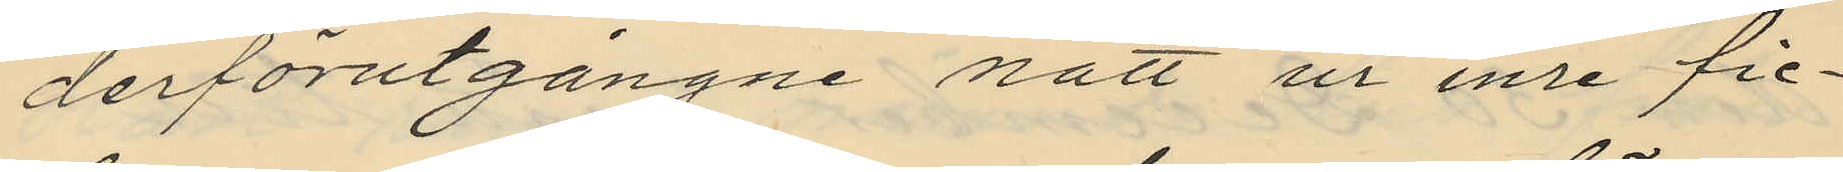derförutgångne natt ur inre fic¬
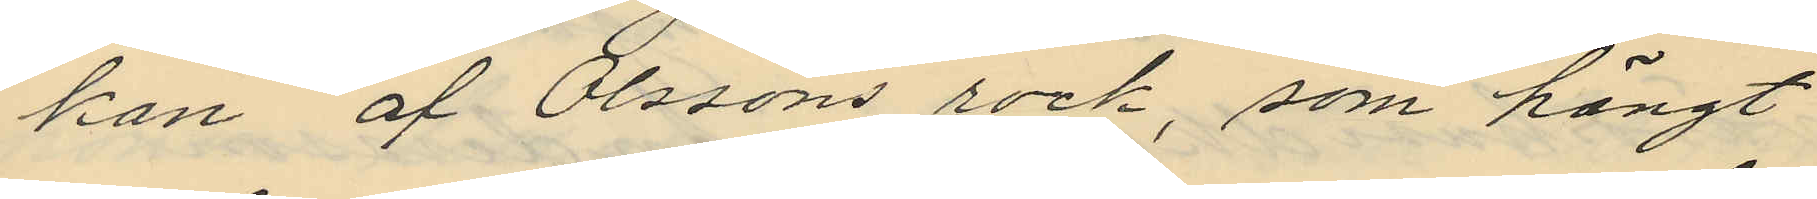kan af Olssons rock, som hängt
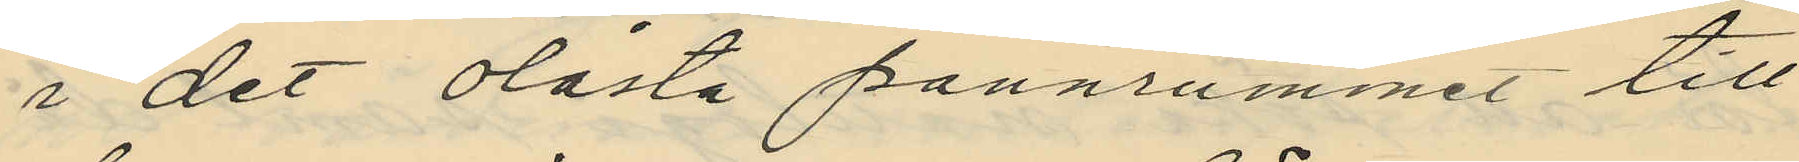i det olåsta pannrummet till
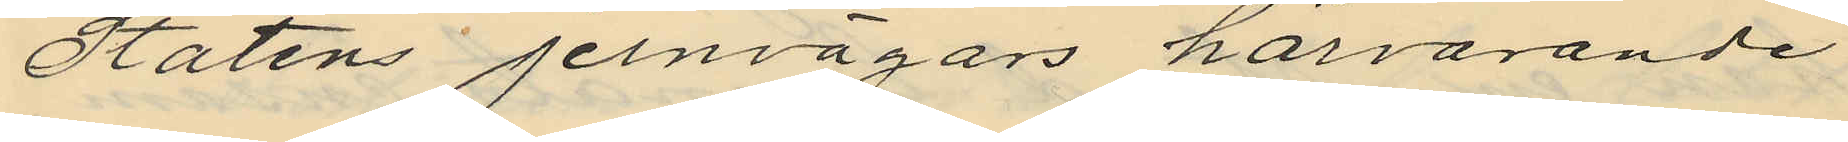Statens jernvägars härvarande
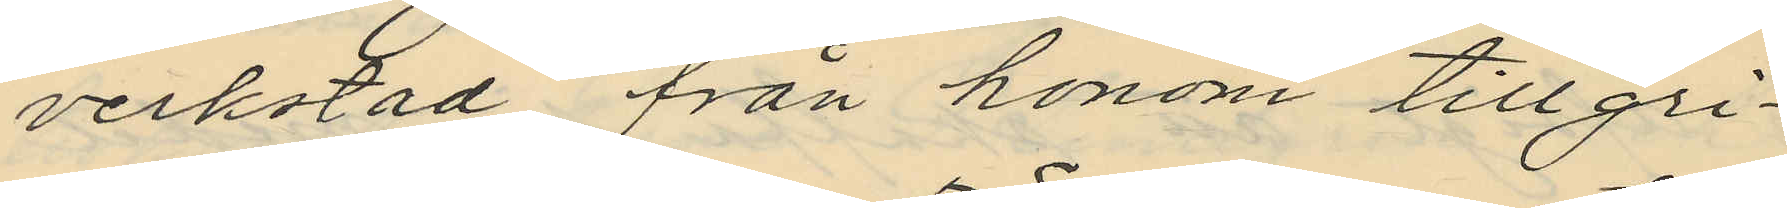verkstad, från honom tillgri¬
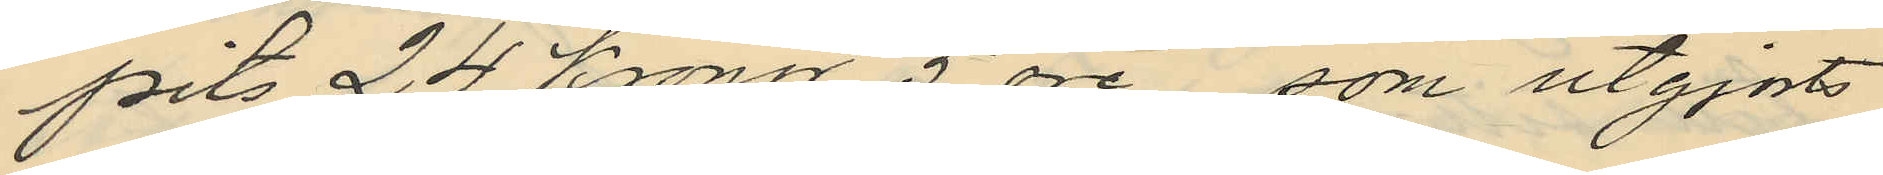pits 24 kronor 5 öre som utgjorts
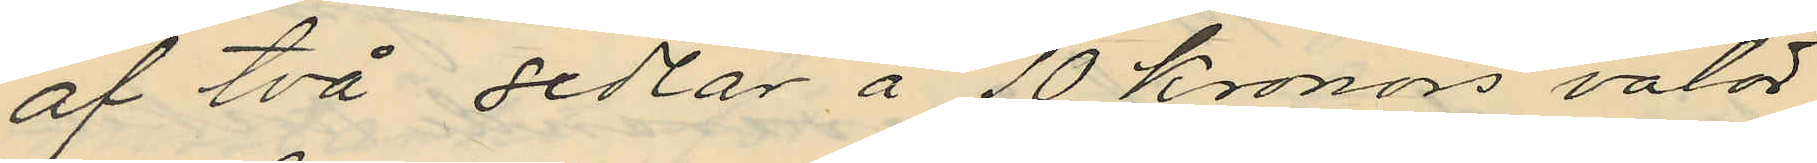af två sedlar å 10 kronors valör,
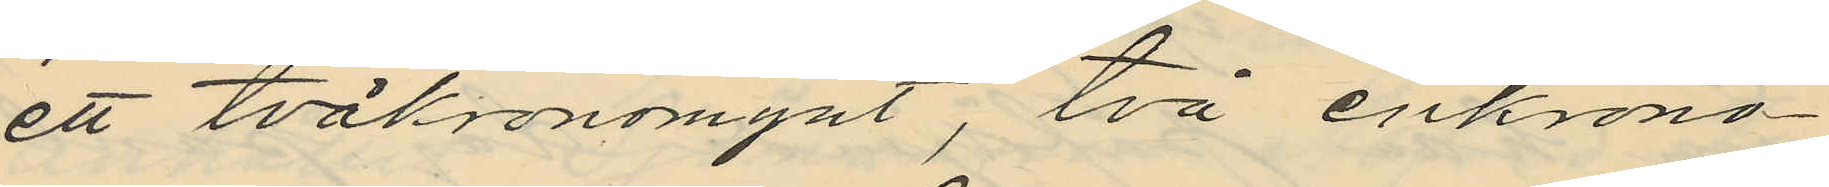ett tvåkronomynt, två enkrono¬
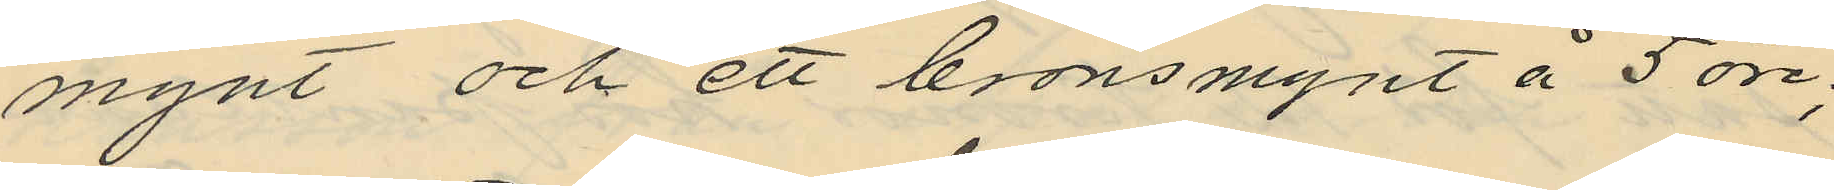mynt och ett bronsmynt å 5 öre;
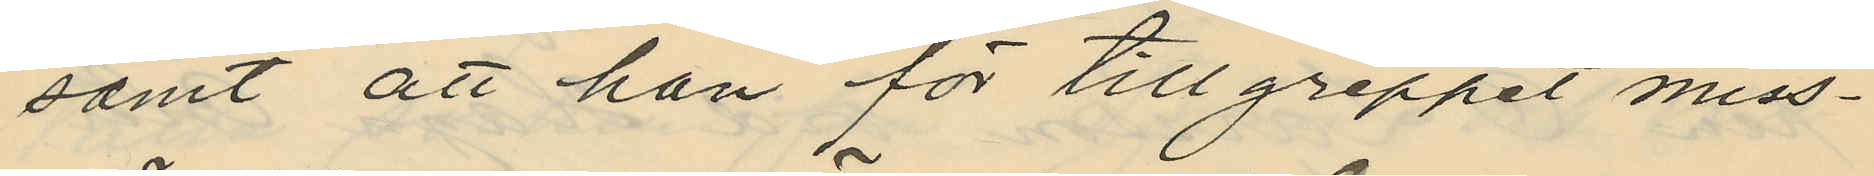samt att han för tillgreppet miss¬
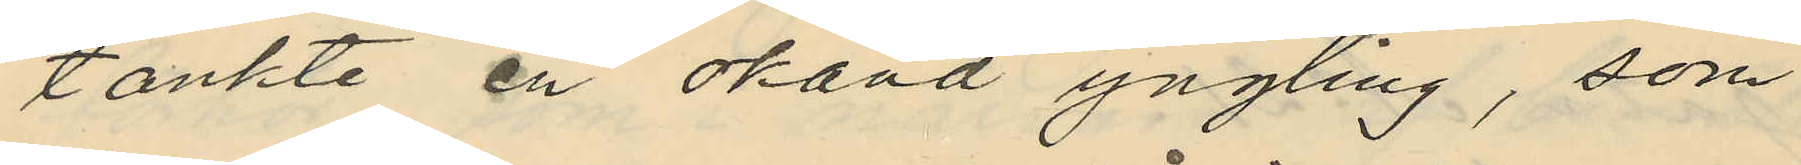tänkte en okänd yngling, som
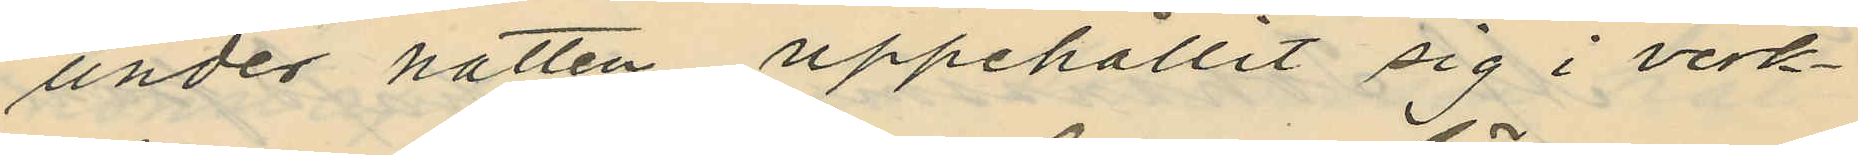under natten uppehållit sig i verk¬
